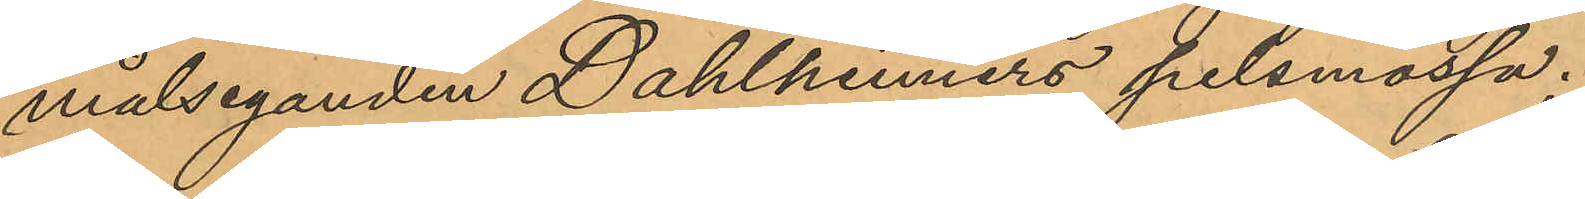målseganden Dahlheimers pelsmossa.
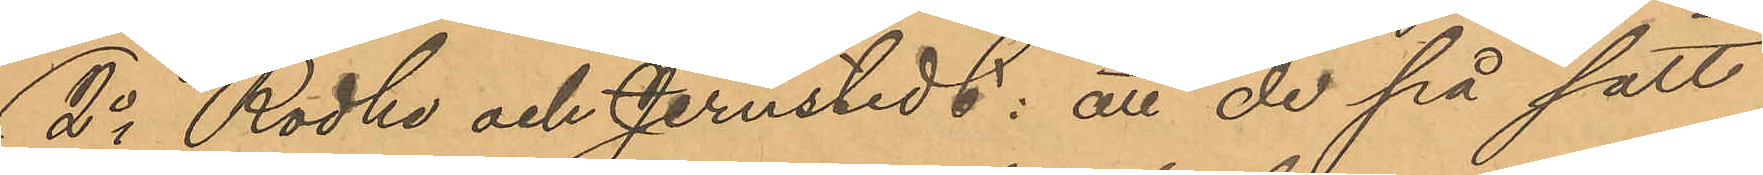2o Rodhe och Jernstedt: att de på sätt
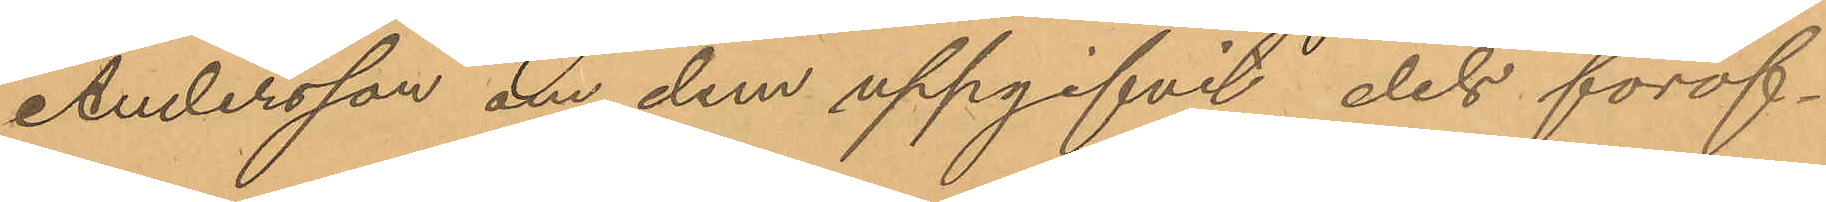Andersson om dem uppgifvit dels föröf¬
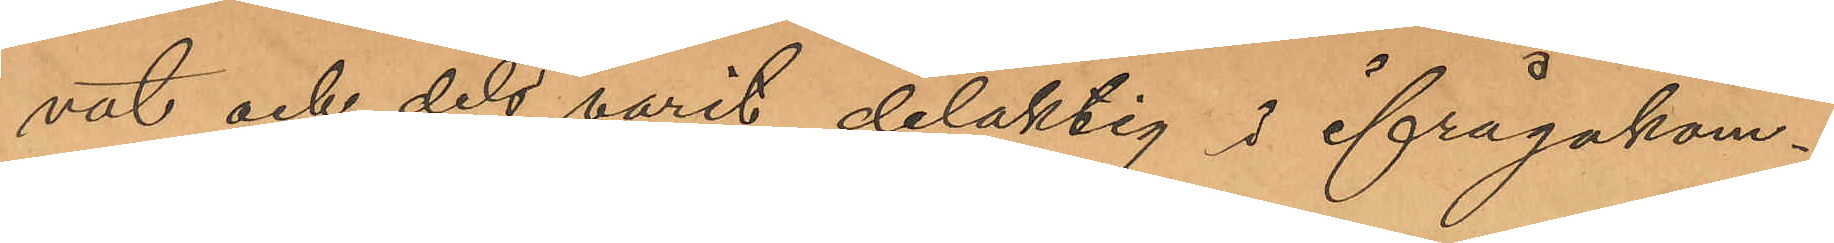vat och dels varit delaktig i ifrågakom¬
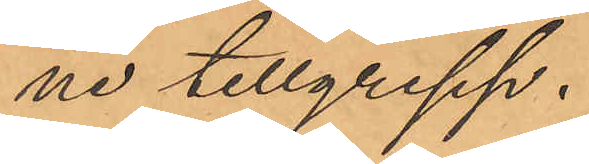ne tillgrepp.
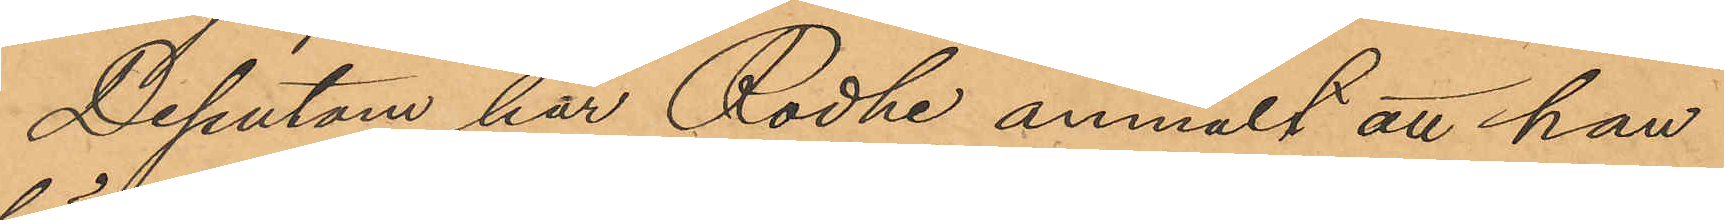Dessutom har Rodhe anmält att han
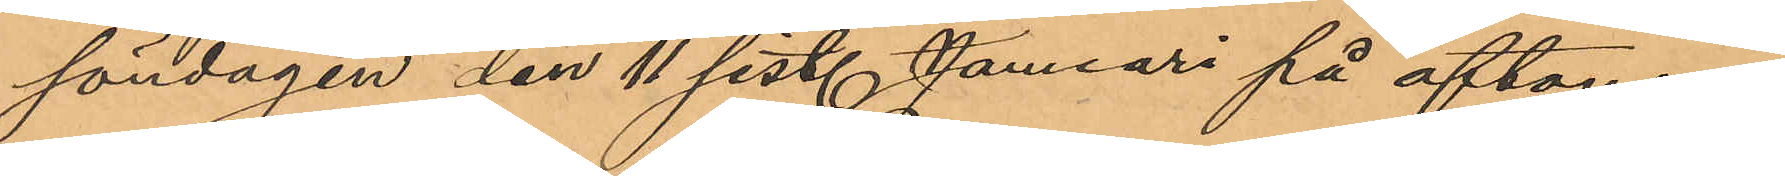söndagen den 11 sist. Januari på aftonen
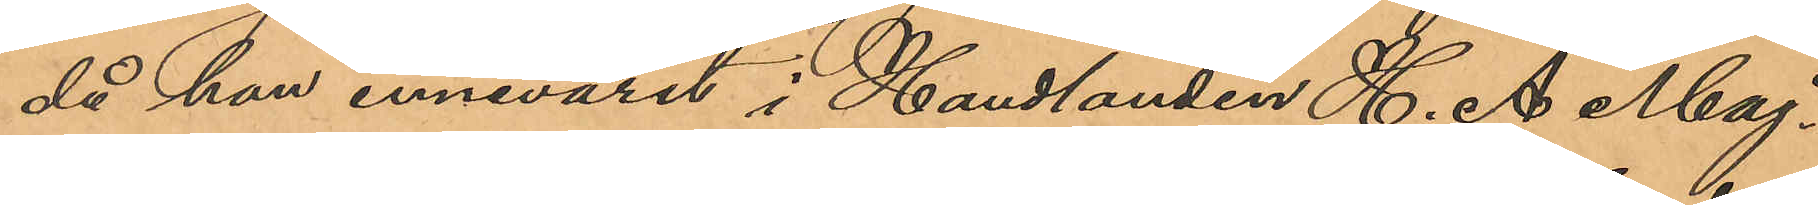då han innevarit i Handlanden H. A. Maj¬
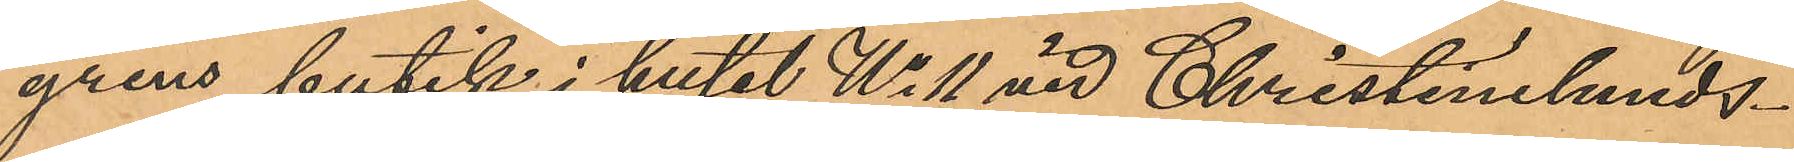grens butik i huset No 11 vid Christinelunds¬
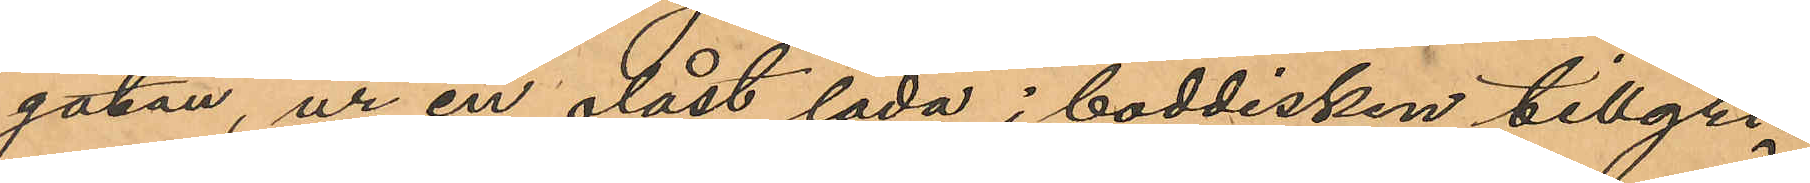gatan, ur en olåst låda i boddisken tillgri¬
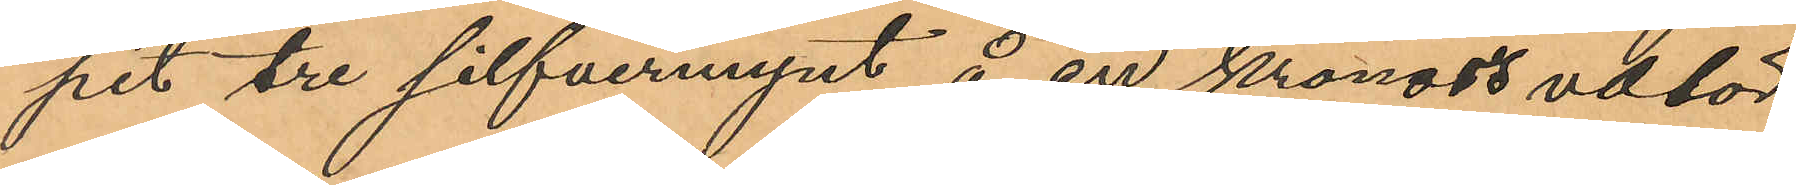pit tre silfvermynt å en kronas valör
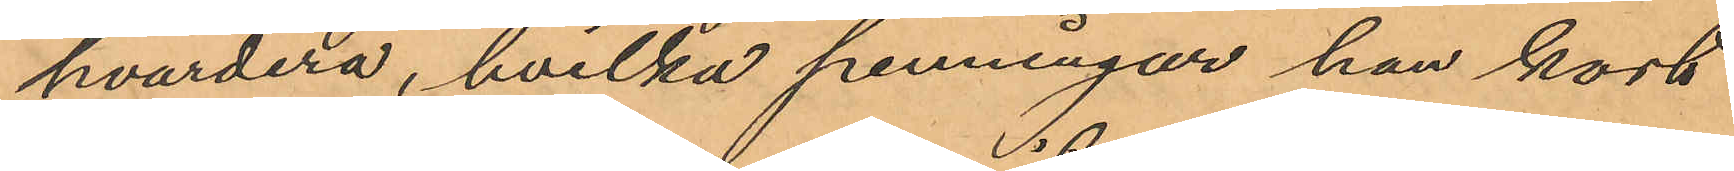hvardera, hvilka penningar han kort
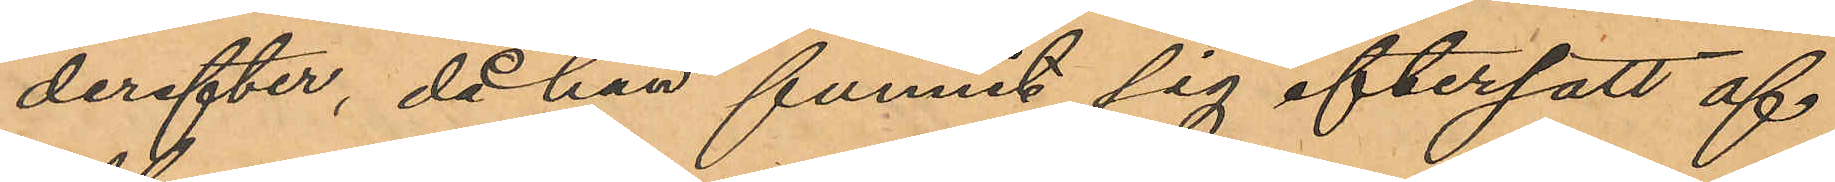derefter, då han funnit sig eftersatt af
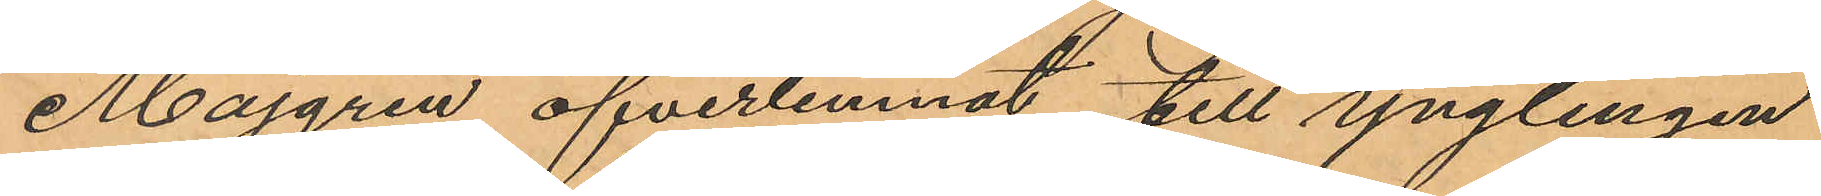Majgren öfverlemnat till ynglingen
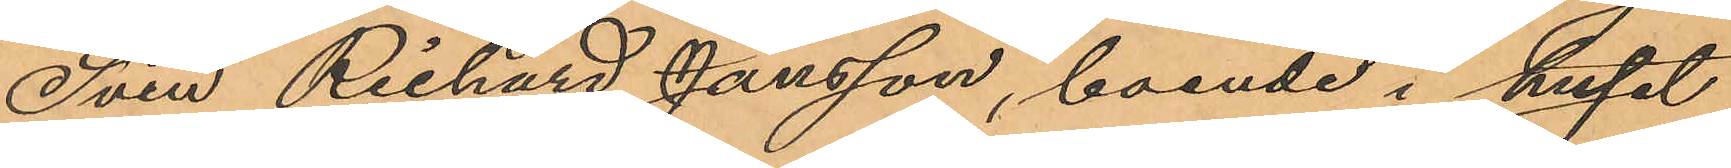Sven Richard Jansson, boende i huset
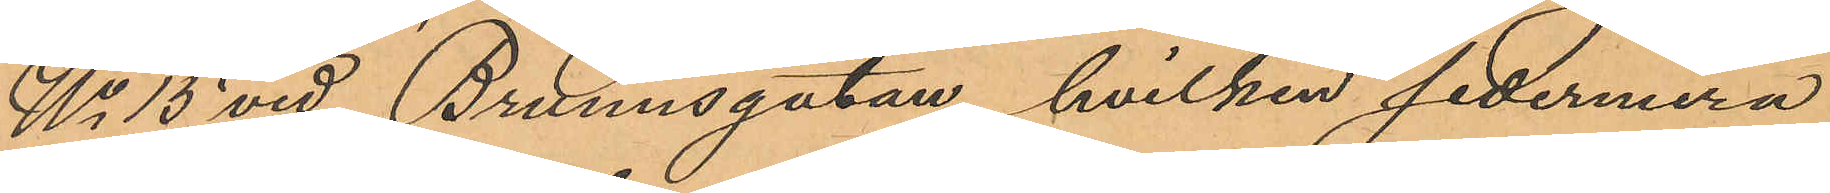No 13 vid Brunnsgatan, hvilken sedermera
